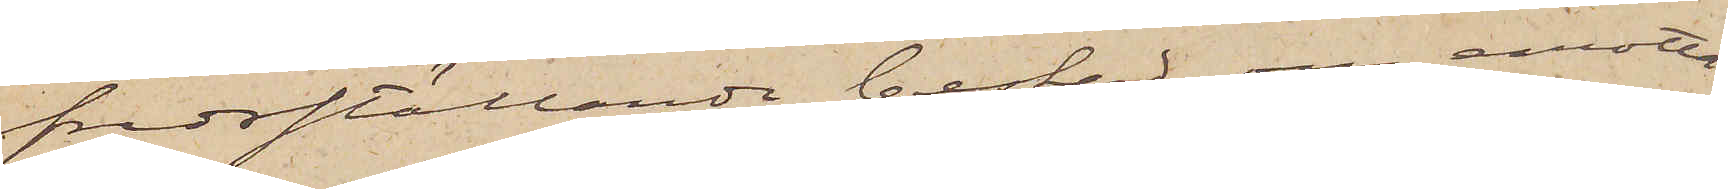fredsställande besked om emotta¬
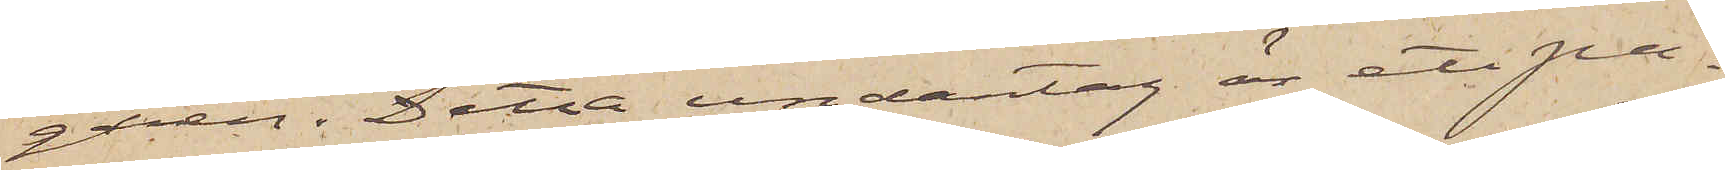garen. Detta undantag är ett pa¬
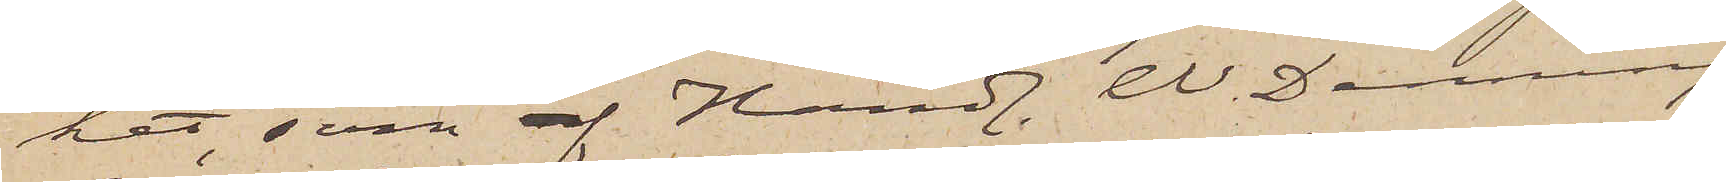ket, som af Handl. W. Denning¬
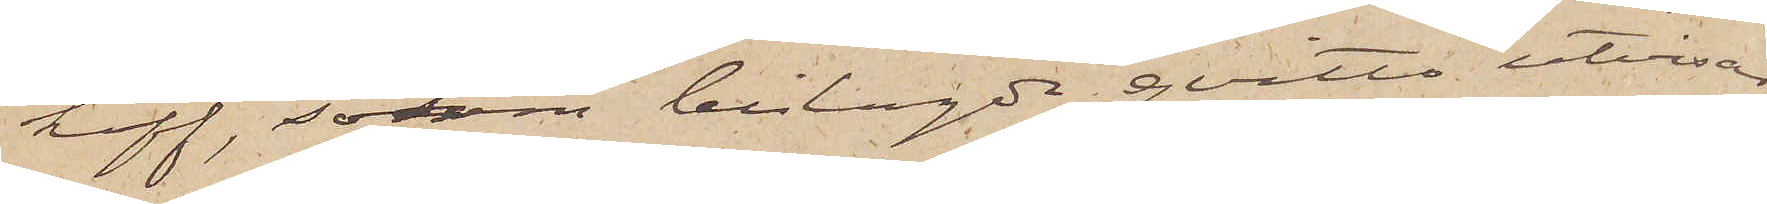hoff, såsom bilagde qvitto utvisar,
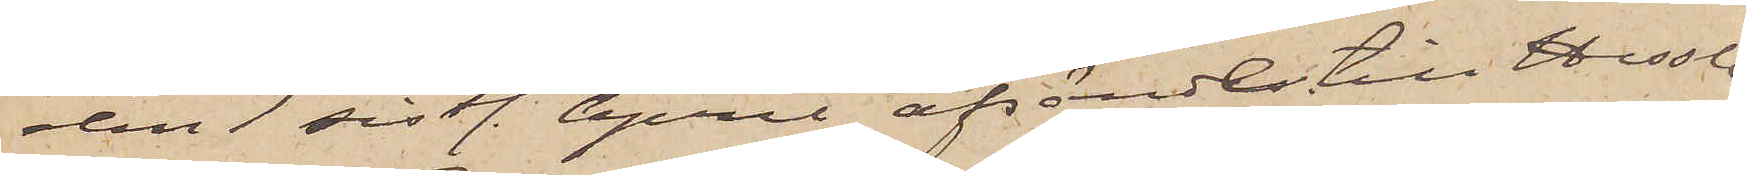den 1 sistl. April afsändts till Hessle¬
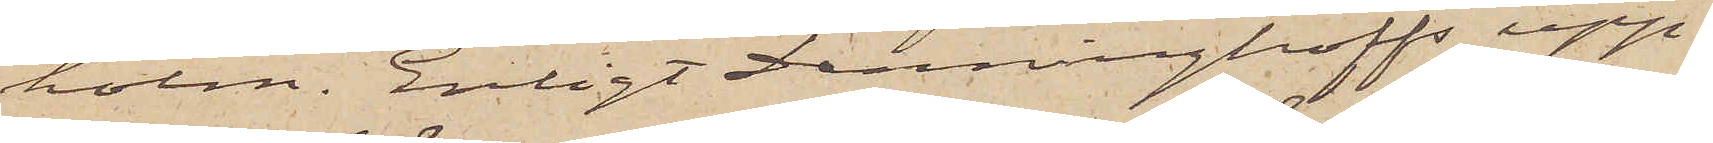holm. Enligt Denninghoffs upp¬
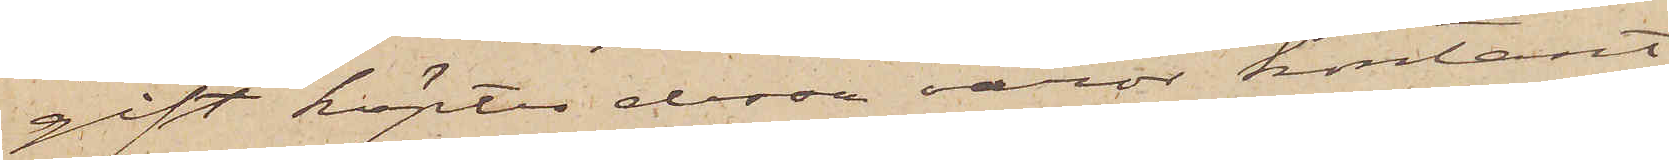gift köptes dessa varor kontant
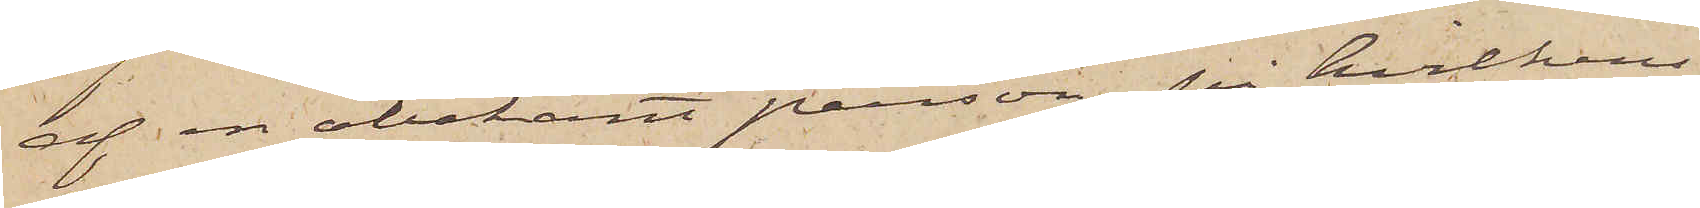af en obekant person, på hvilkens
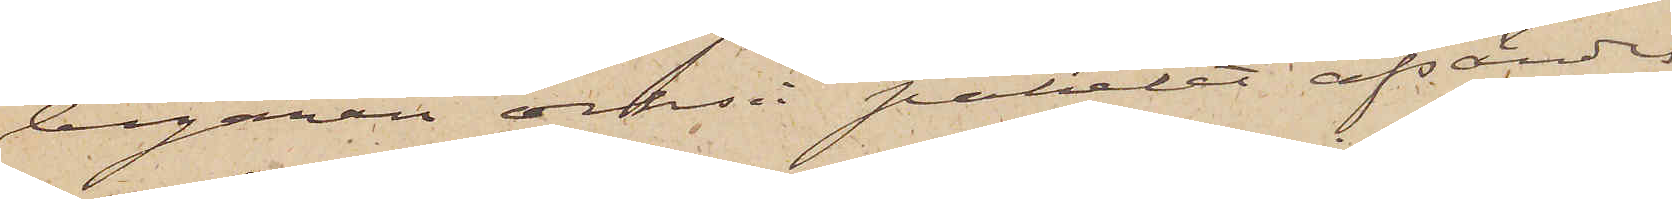begäran också paketet afsändes
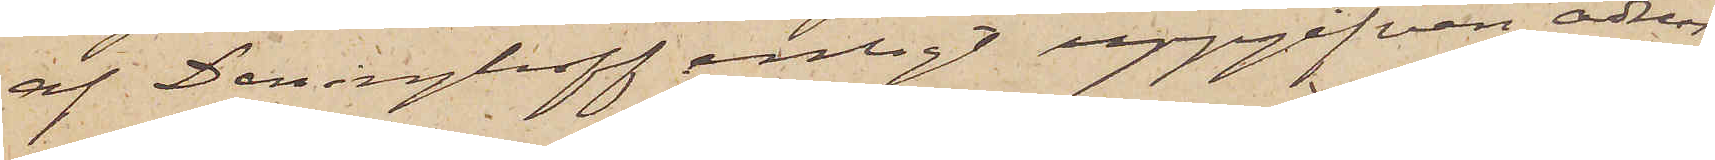af Denninghoff enligt uppgifven adress.
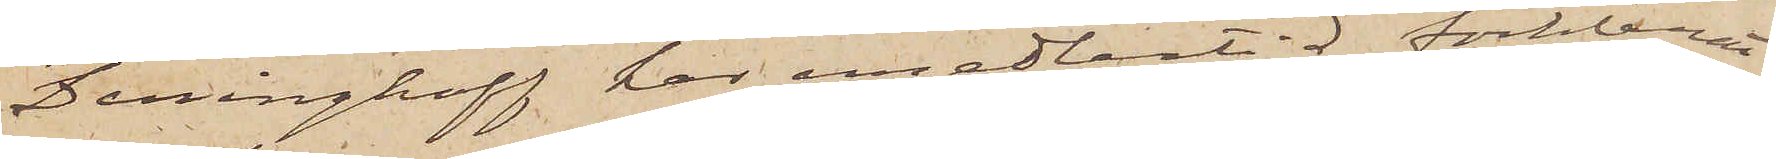Denninghoff har emedlertid förklarat
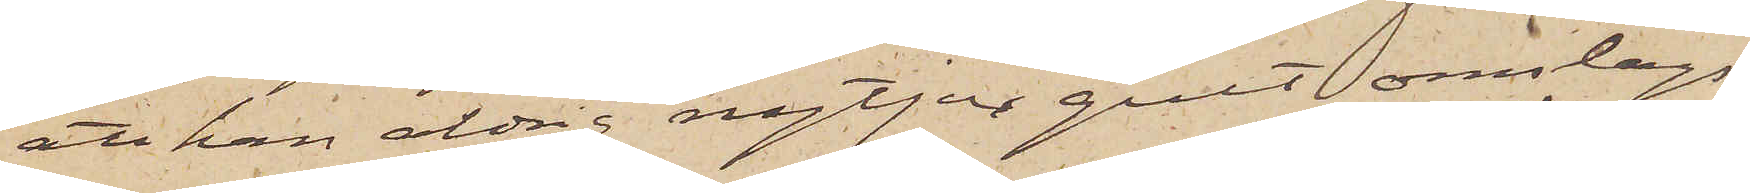att han aldrig nytjar gult omslags¬
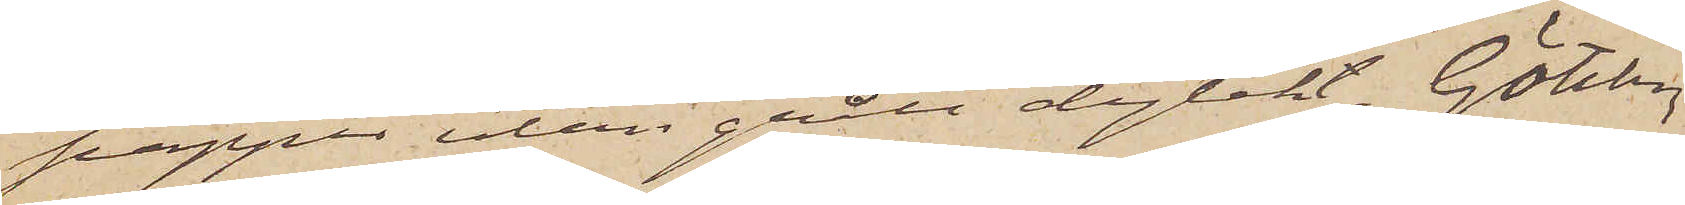papper utan grått dylikt. Göteborg
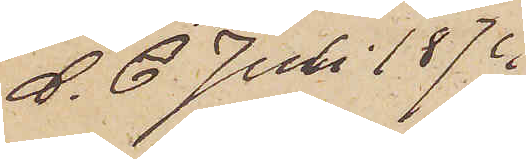d. 6 Juli 1874.
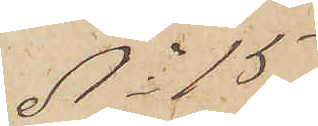No 15
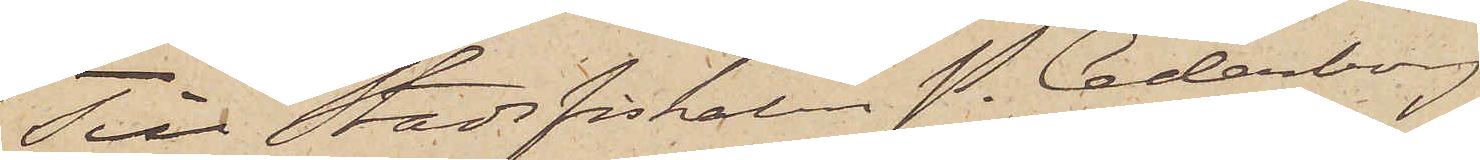Till Stadsfiskalen P. Cederberg
